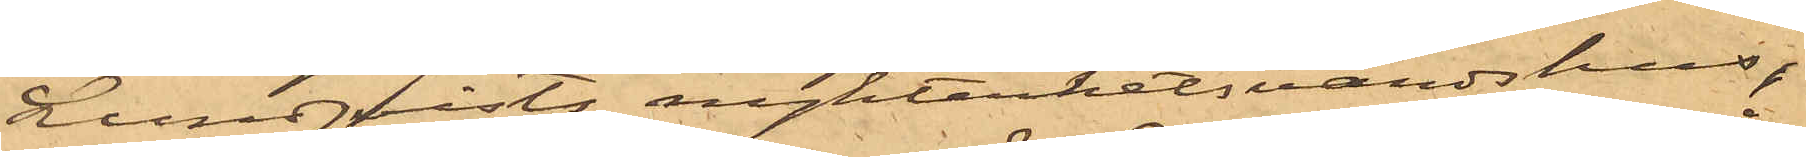Lundqvists nykterhetsvärdshus,
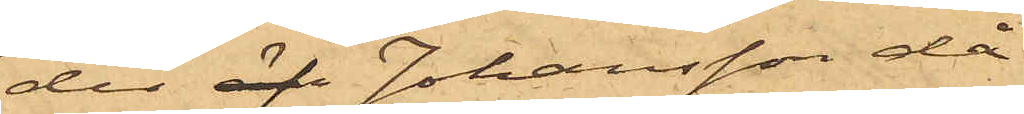der äfv Johansson då
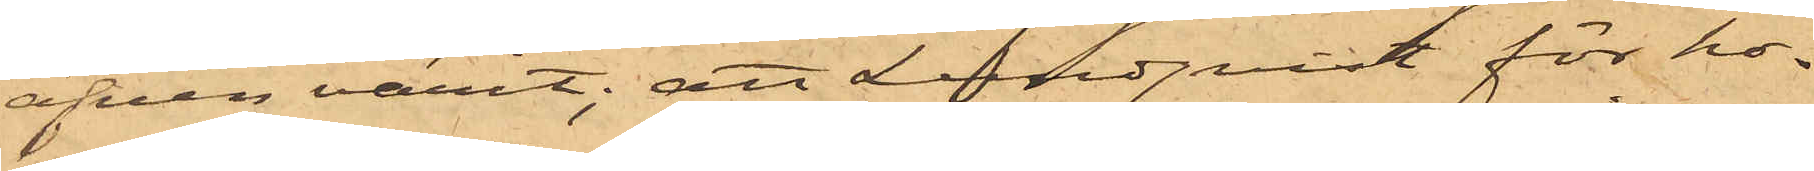äfven varit; att Lundqvist för ho¬
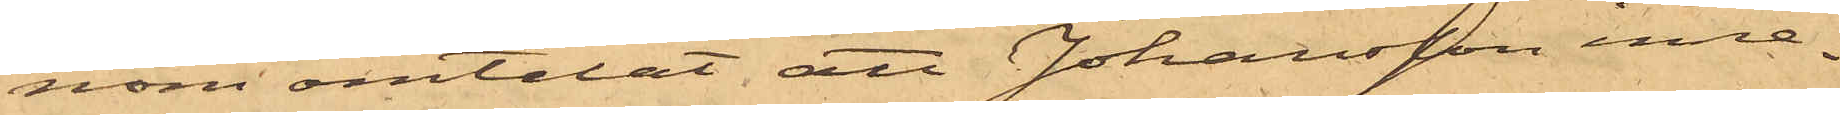nom omtalat, att Johansson inne¬
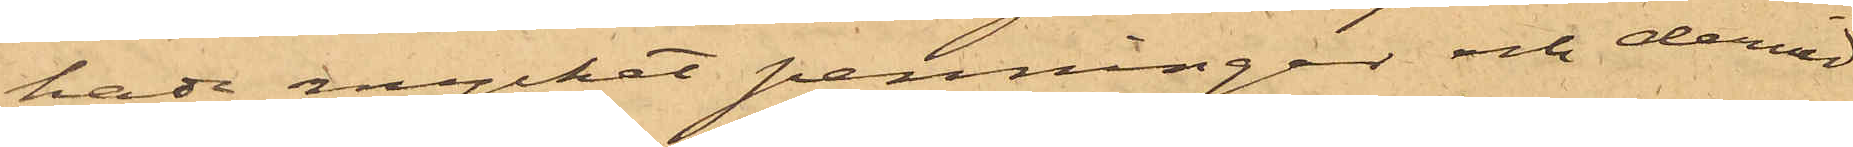hade mycket penningar och dervid
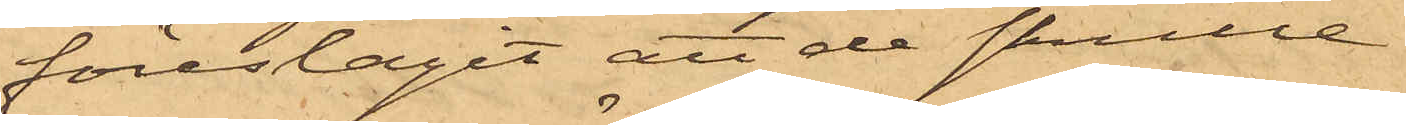föreslagit att de skulle
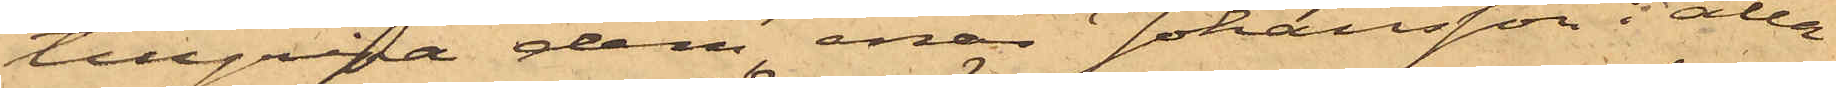tillgripa dem, enär Johansson i alla
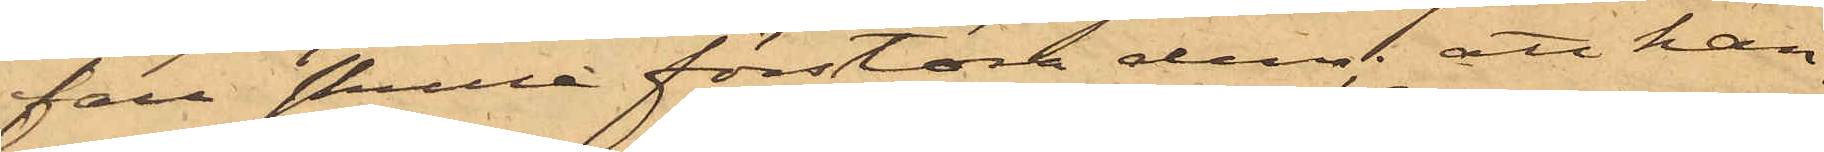fall skulle förstöra dem; att han,
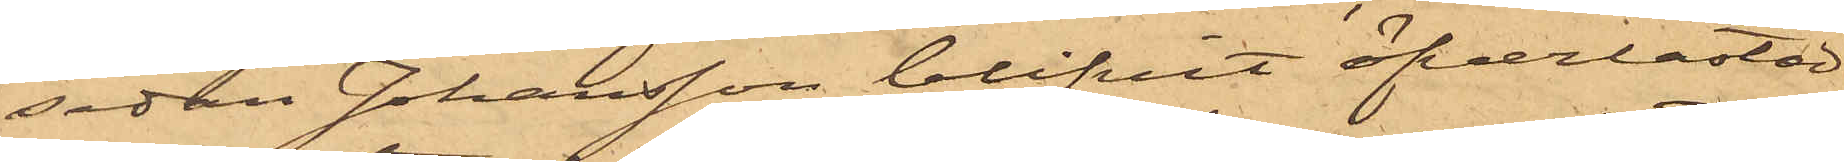sedan Johansson blifvit öfverlastad
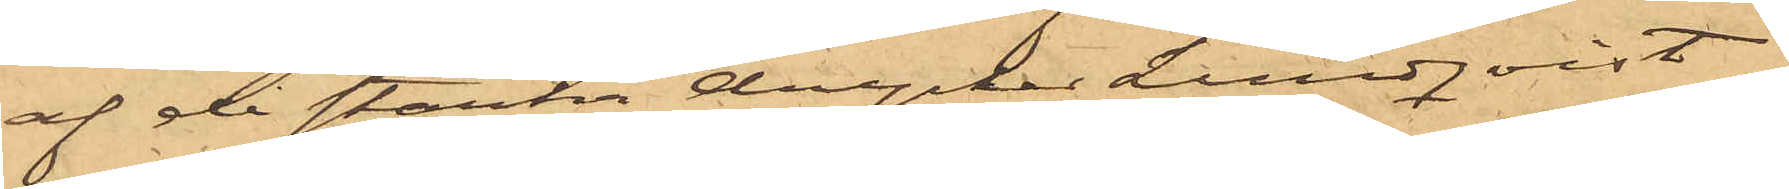af de starka drycker Lundqvist
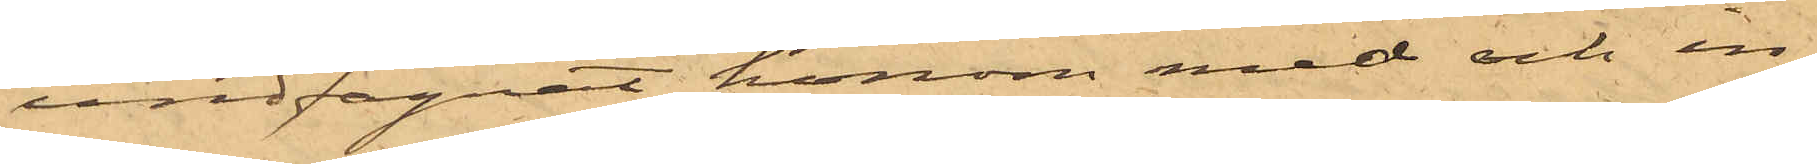undfägnat honom med och in¬
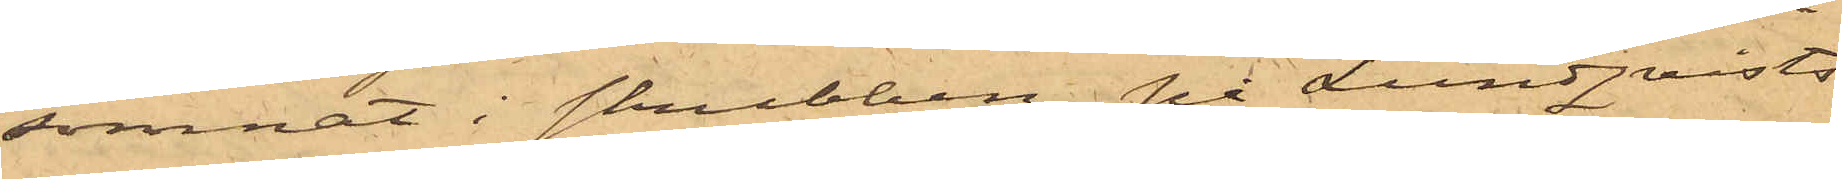somnat i skrubben, på Lundqvists
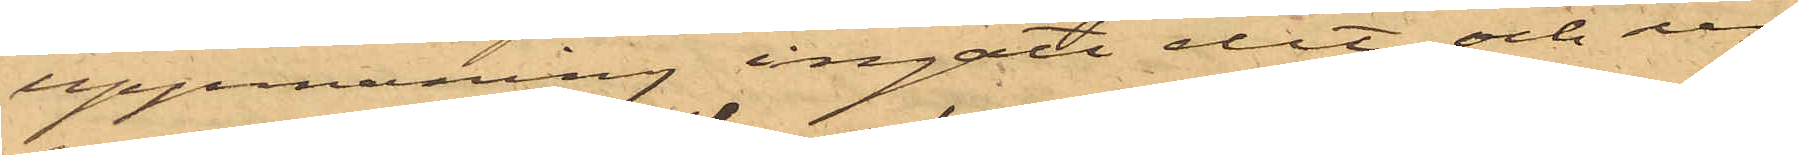uppmaning ingått dit och ur
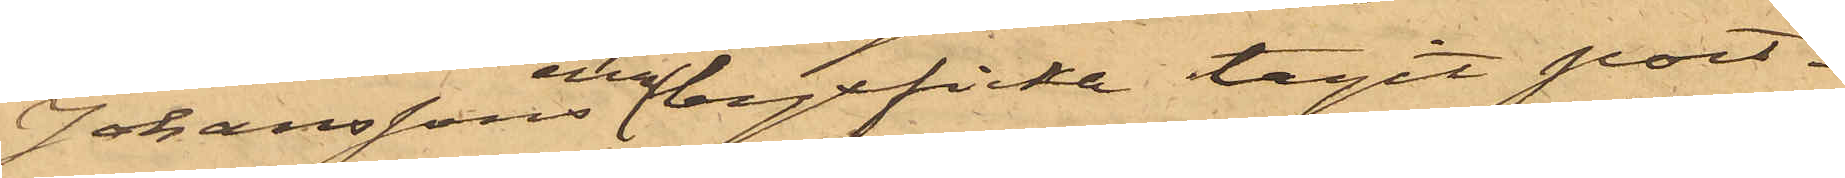Johanssons ena byxficka tagit port¬
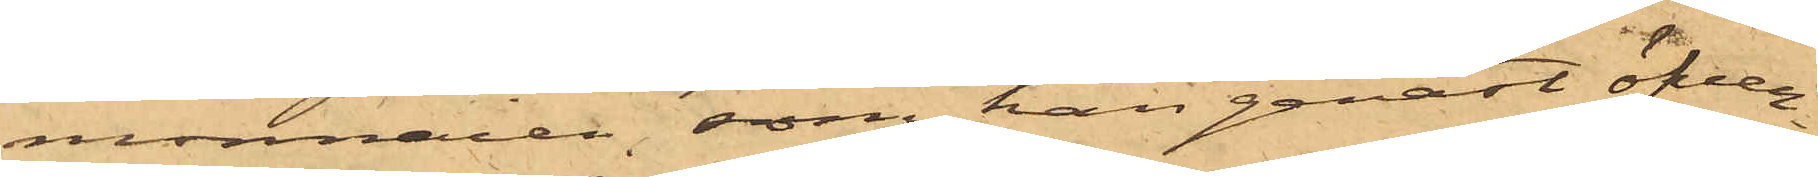monnaien, som han genast öfver¬
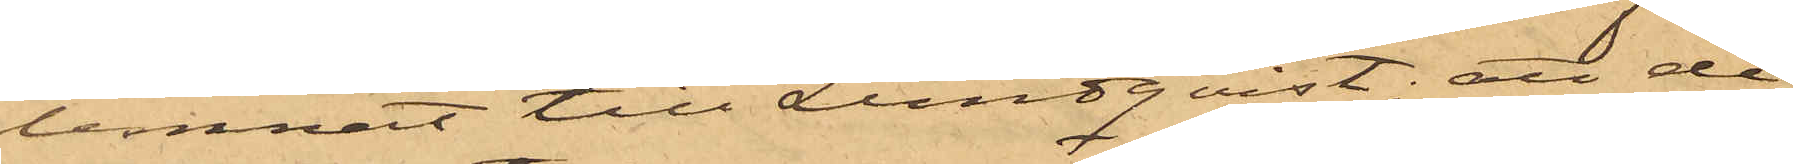lemnat till Lundqvist; att de
